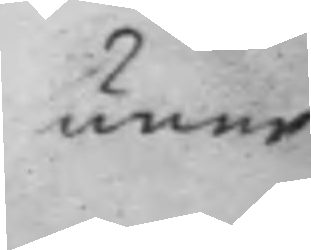unne
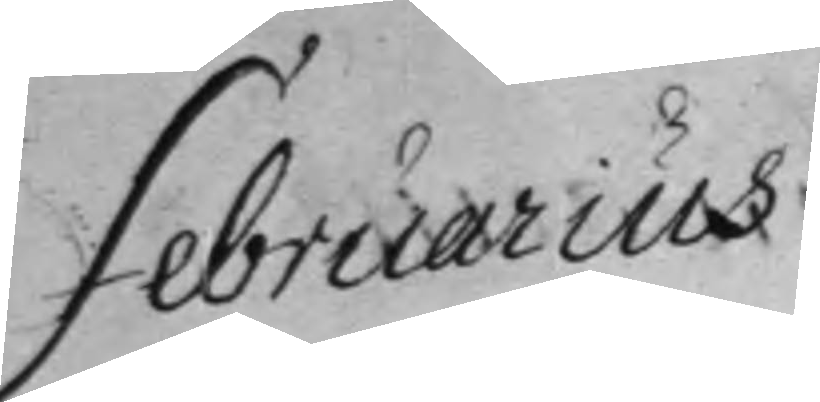Februarius
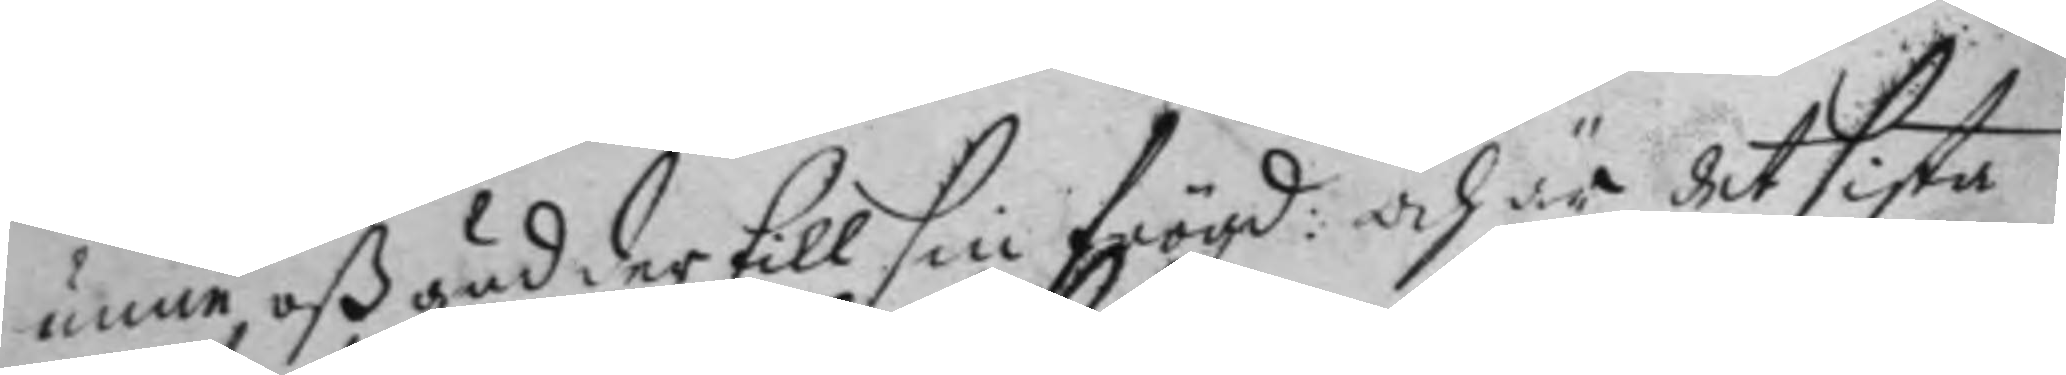unne, oß gud der till sin frögd: och är det sista 
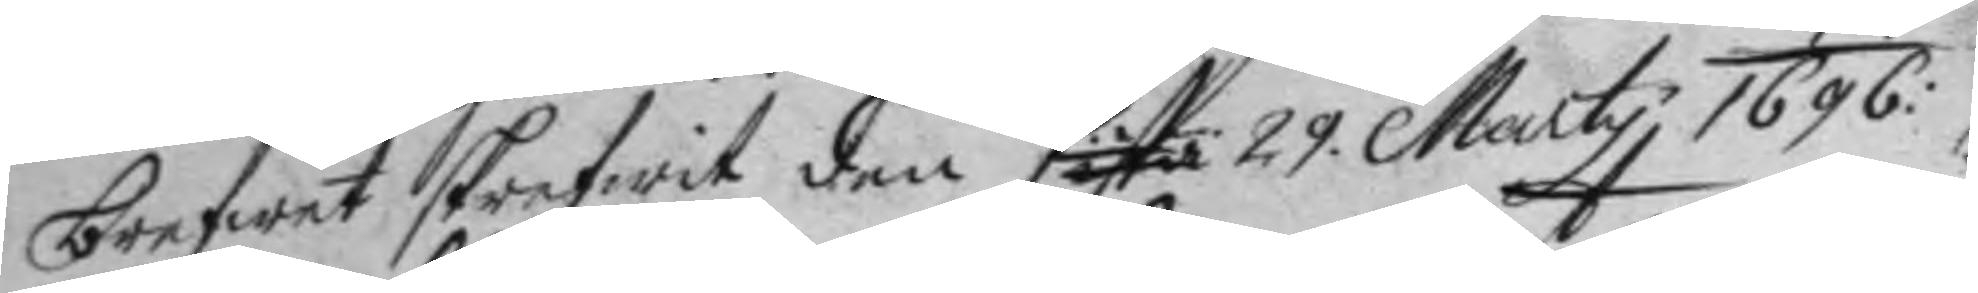brefwet skrefwit den sista 29 Marty 1696:
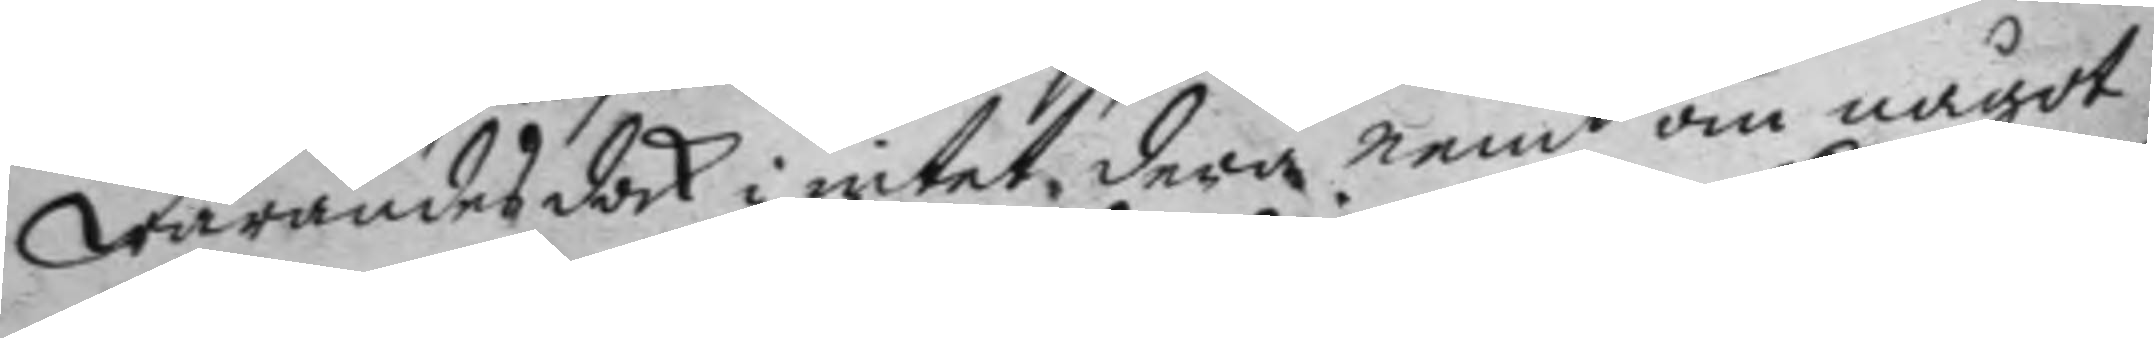warandes dock i intet, dera nemt om något
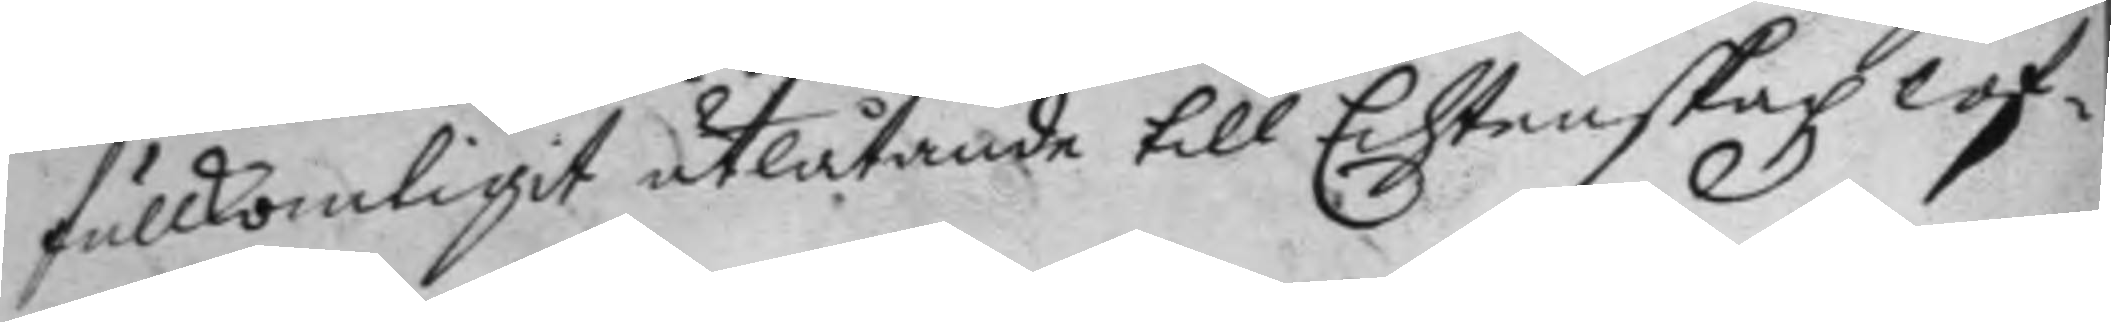fullkomligit utlåtande till Echtenskapz lof¬
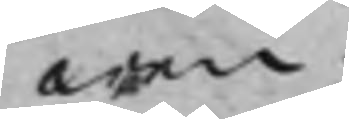wen.
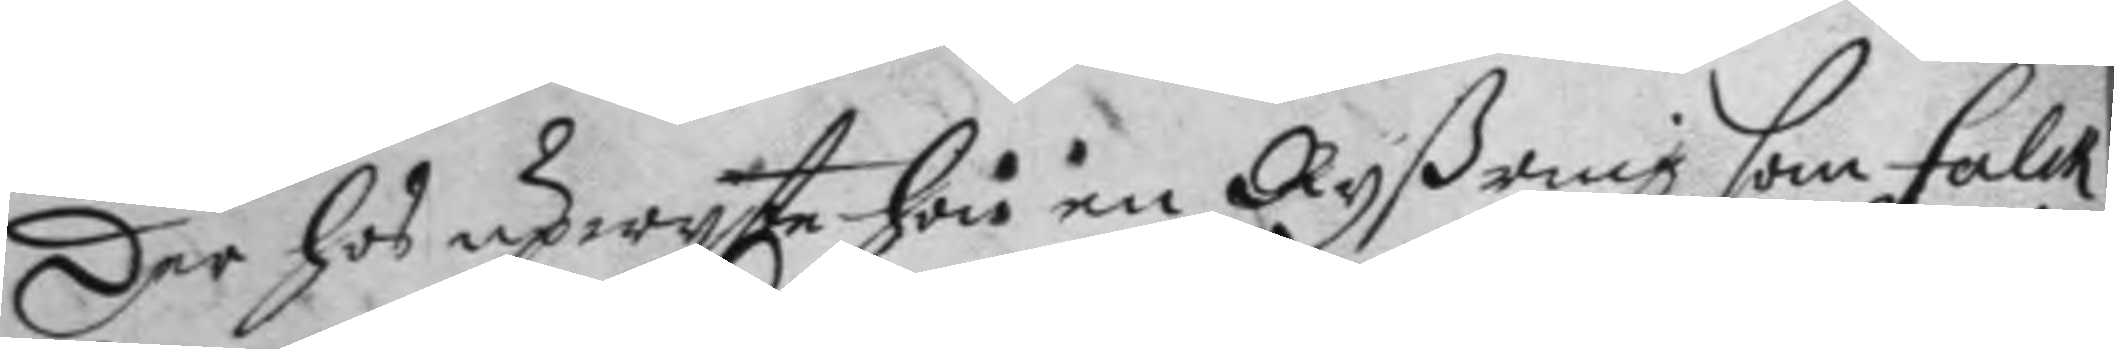Der hos upwyste hon en Ryßring som Falck
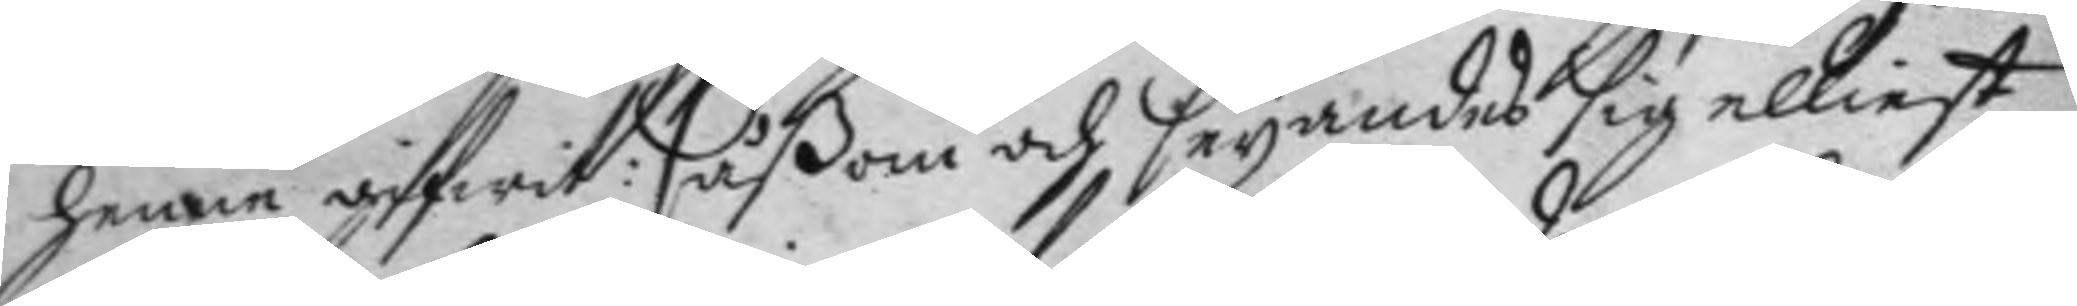henne gifwit: såßom och seyandes sig elliest
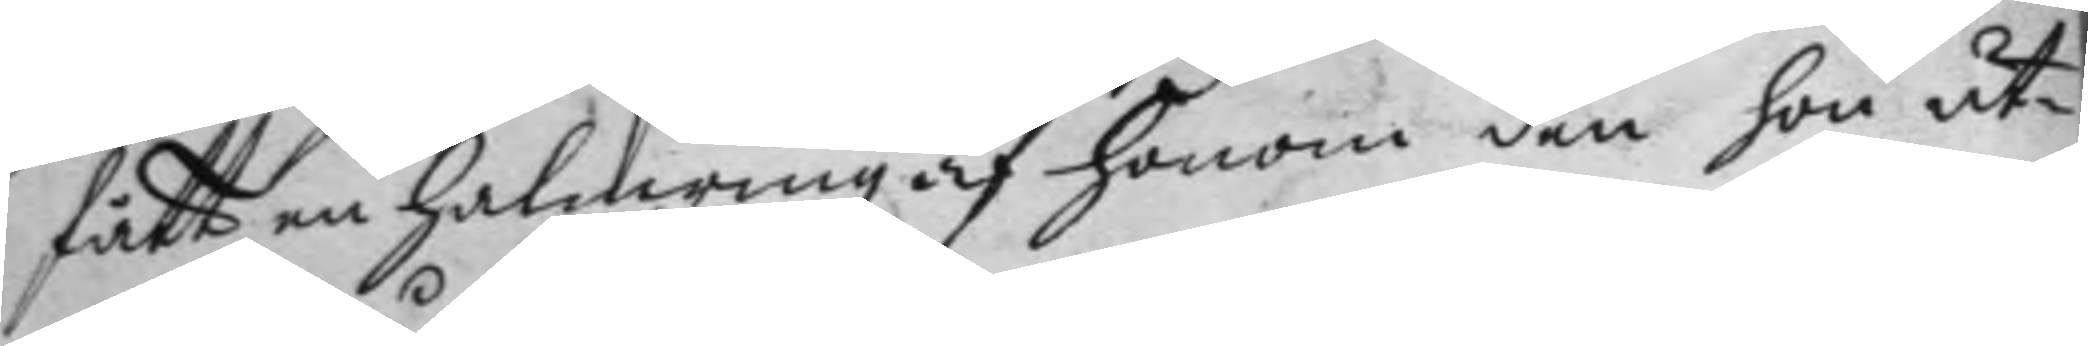fått en halmring af honom den hon ut¬
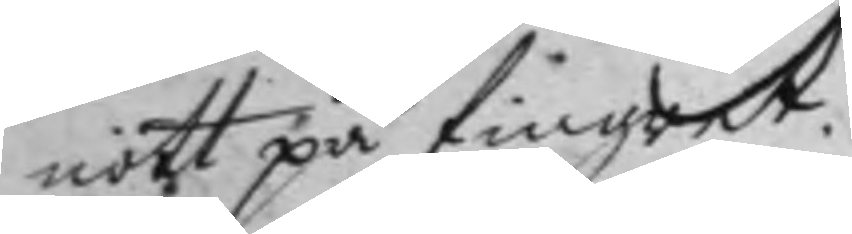nött på fingret.
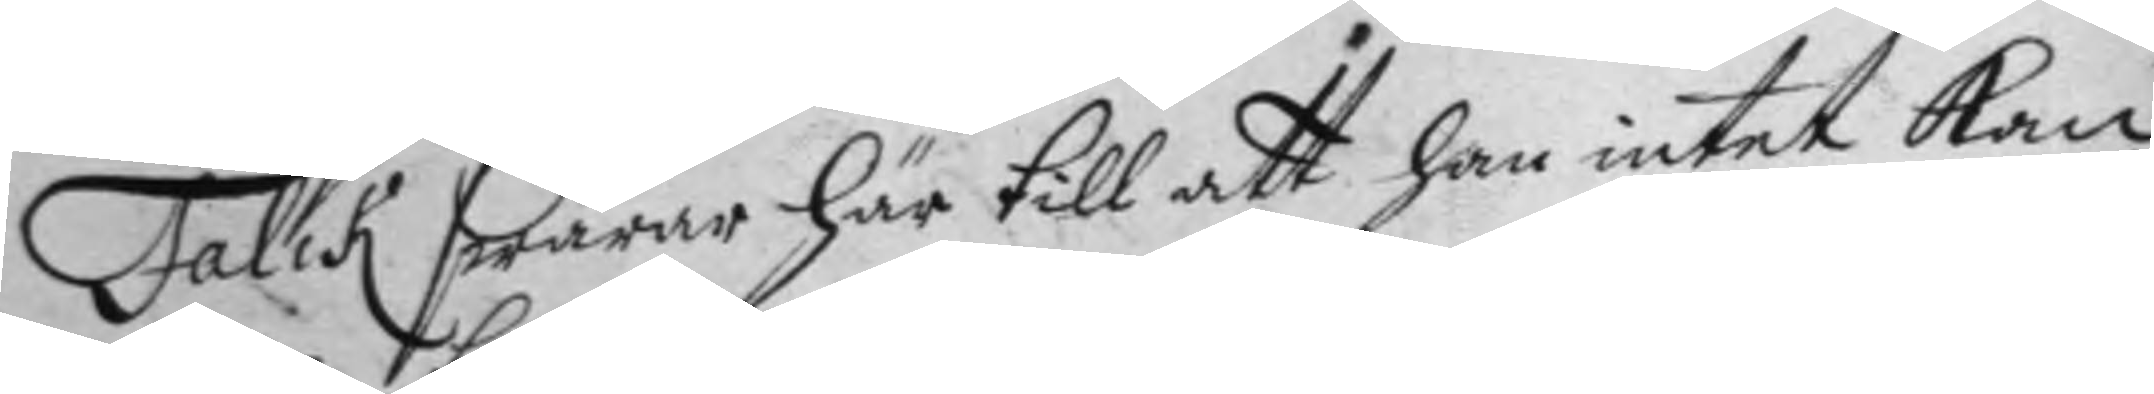Falis swarar här till att han intet kan
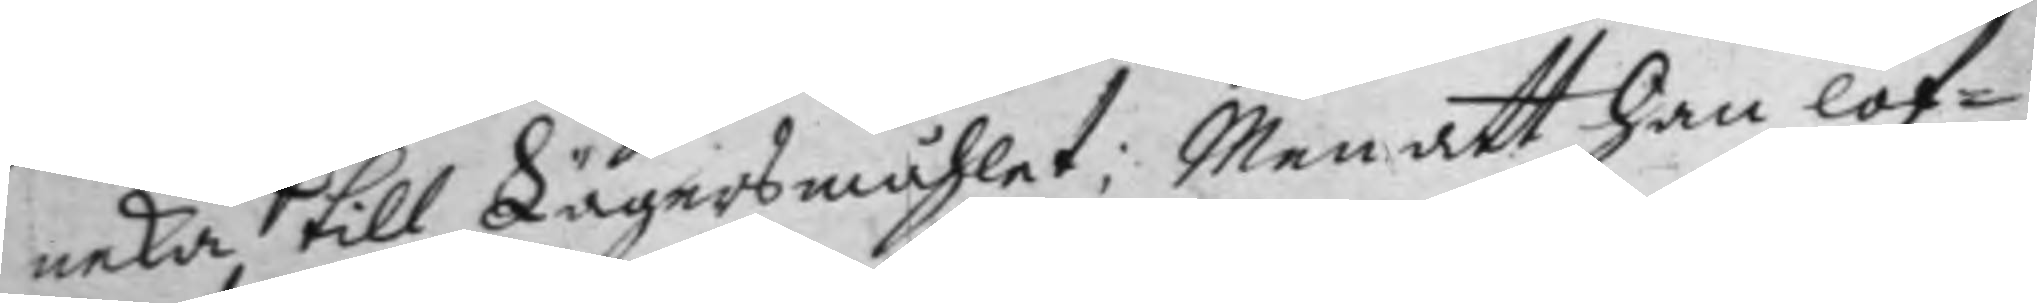neka till Lägersmåhlet; Men att han lof¬
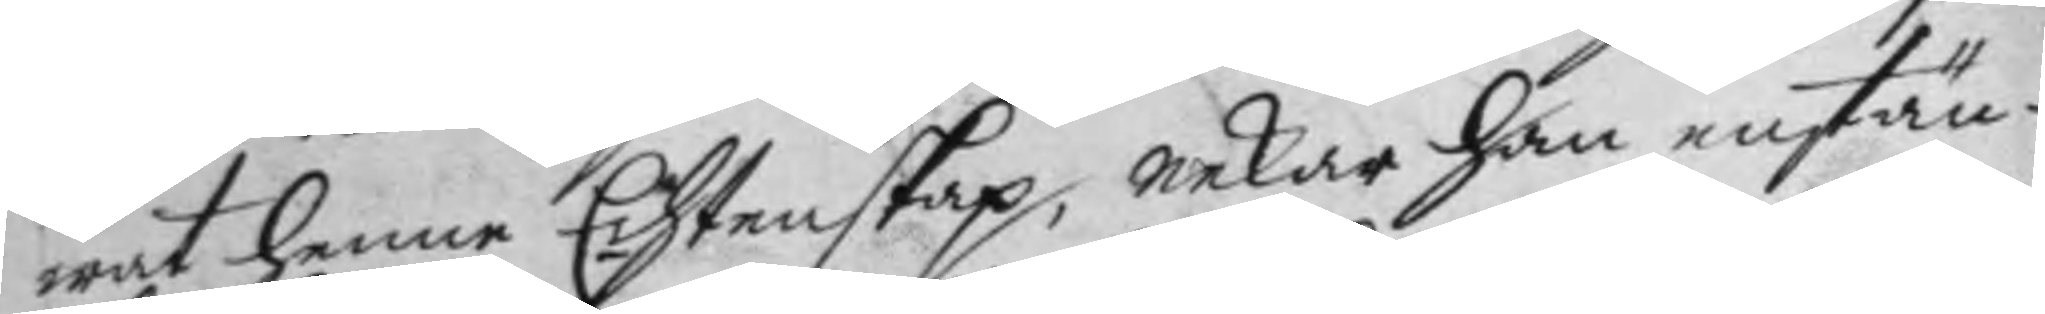wat henne Echtenskap, nekar han enstän¬
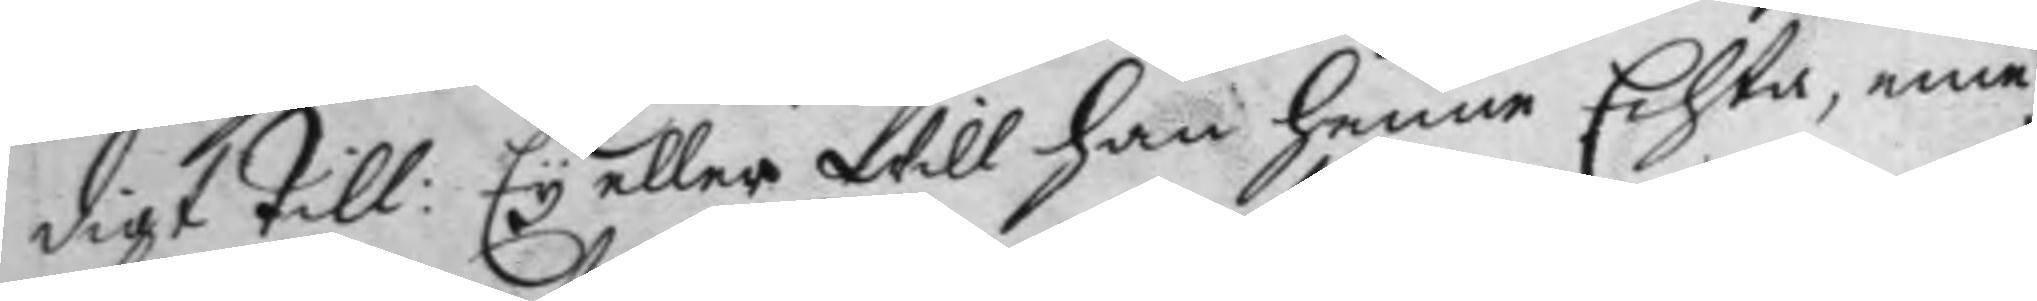digt till: Ey eller will han henne Echta, eme¬
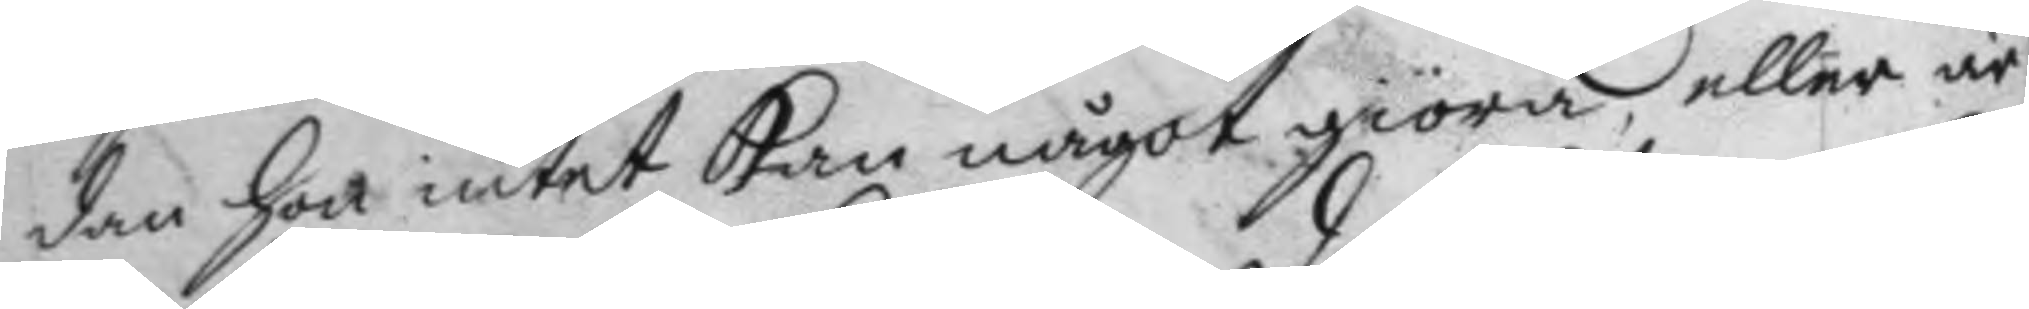dan hon intet kan något giöra, eller är
